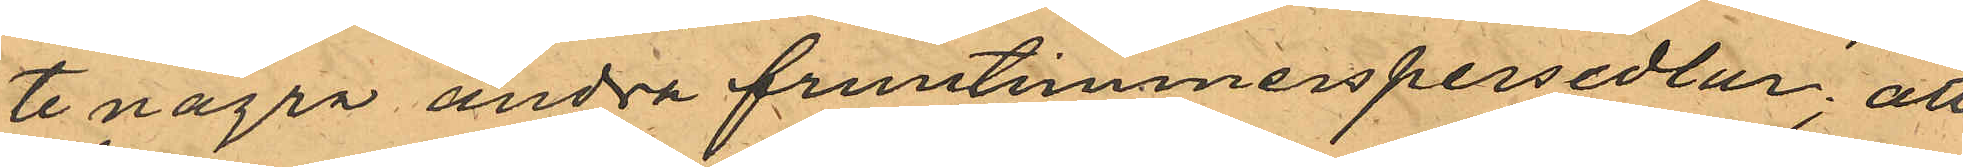te några andra fruntimmerspersedlar; att
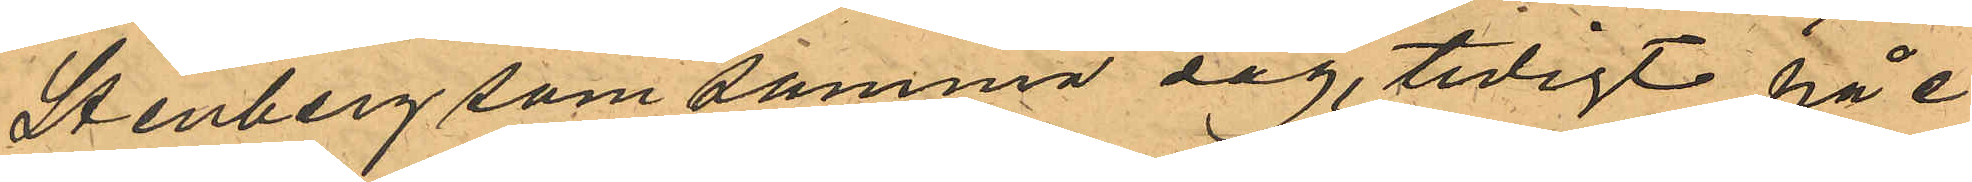Stenberg som samma dag, tidigt på e.
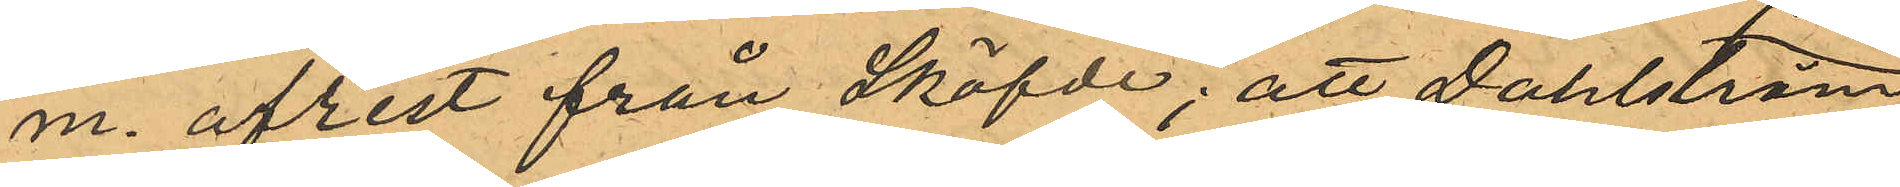m. afrest från Sköfde; att Dahlström
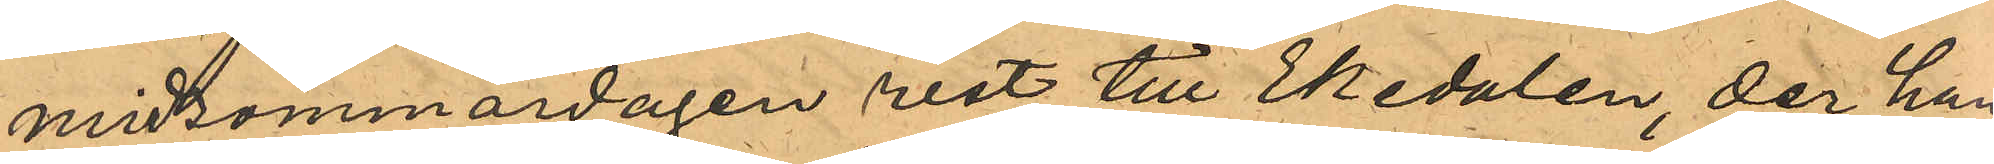midsommardagen rest till Ekedalen, der han
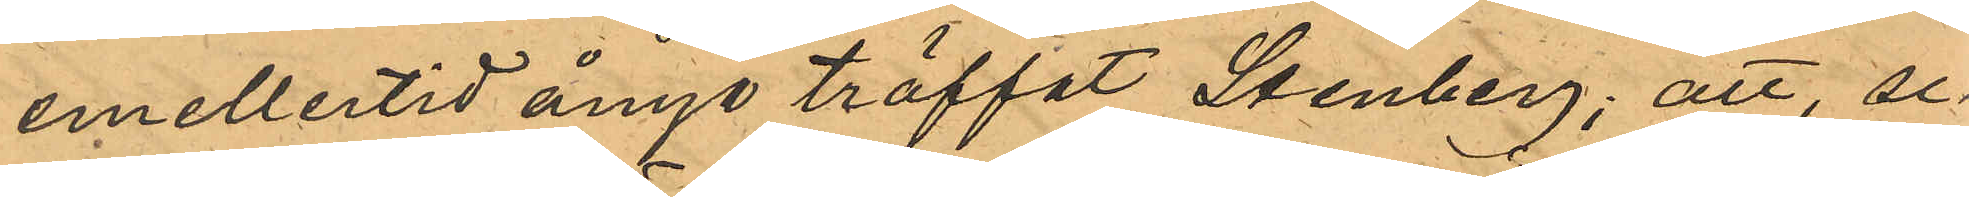emellertid ånyo träffat Stenberg; att se¬
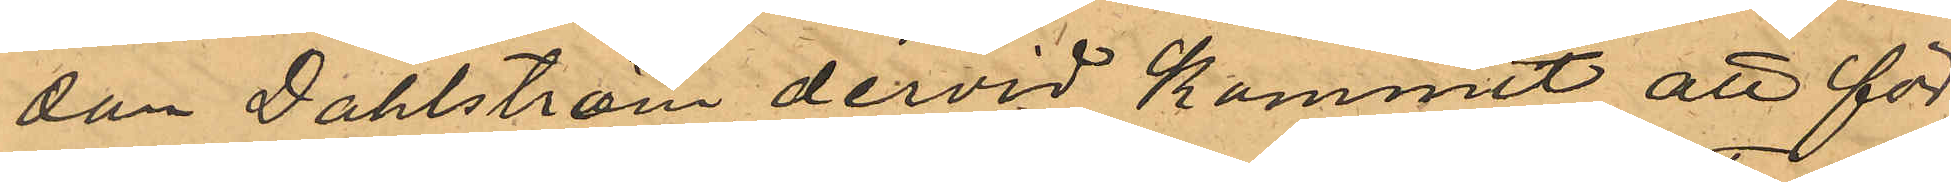dan Dahlström dervid kommit att för
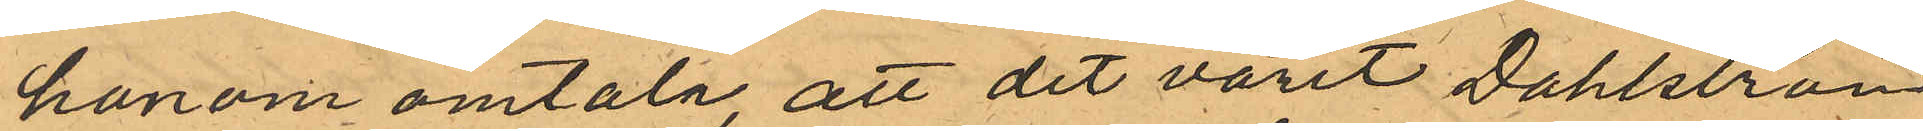honom omtala, att det varit Dahlström
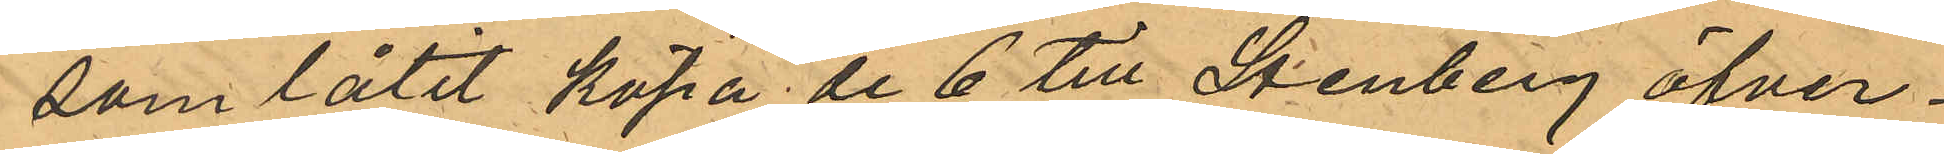som låtit köpa de 6 till Stenberg öfver¬
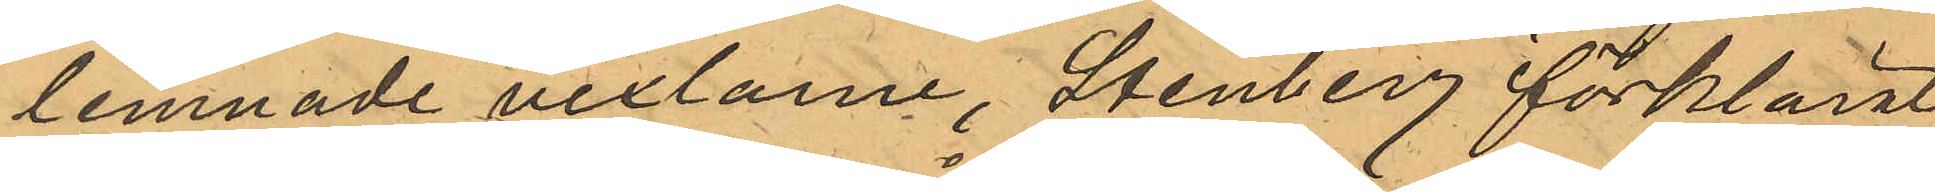lemnade vexlarne, Stenberg förklarat
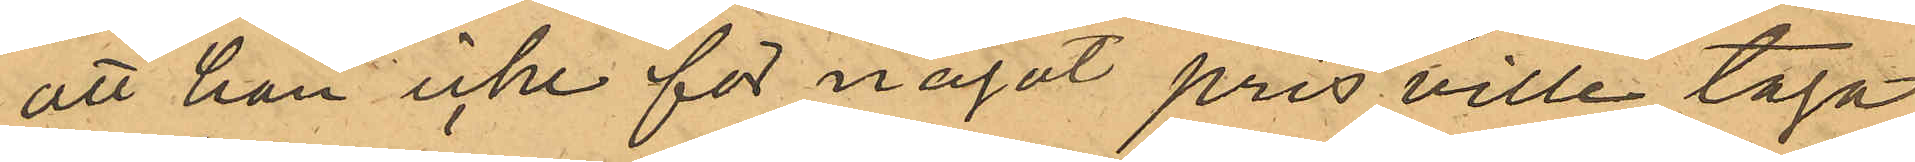att han icke för något pris ville taga
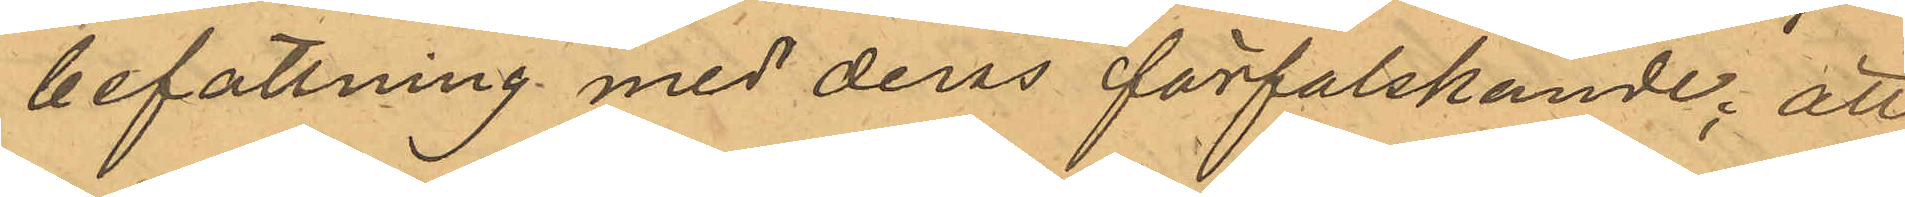befattning med deras förfalskande; att
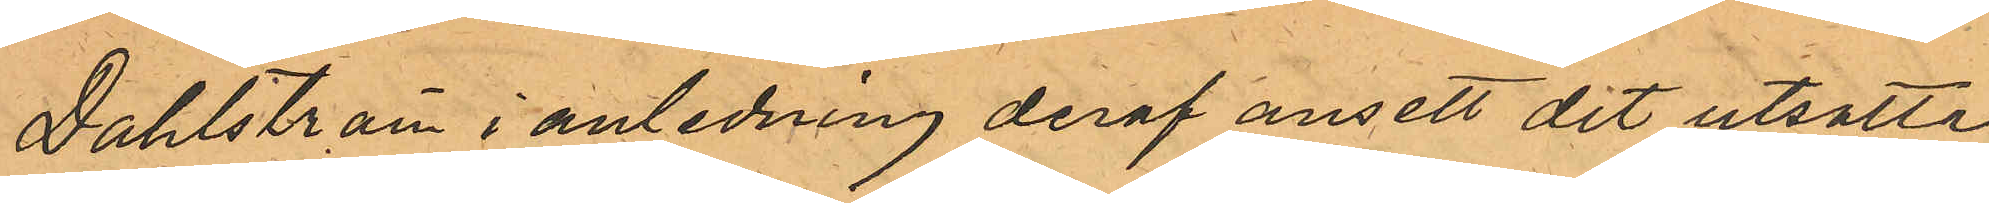Dahlström i anledning deraf ansett det utsatta
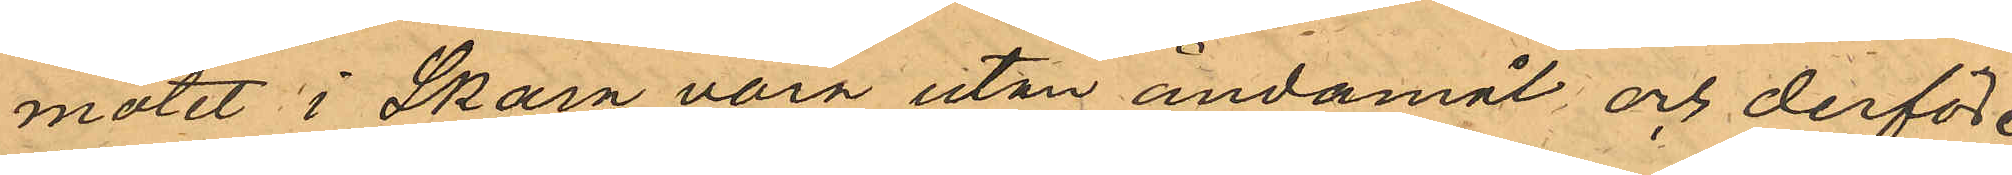mötet i Skarn vara utan ändamål och derföre
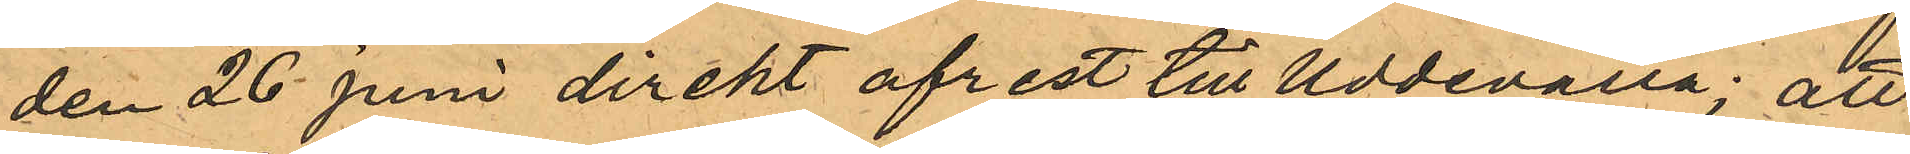den 26 Juni direkt afrest till Uddevalla; att
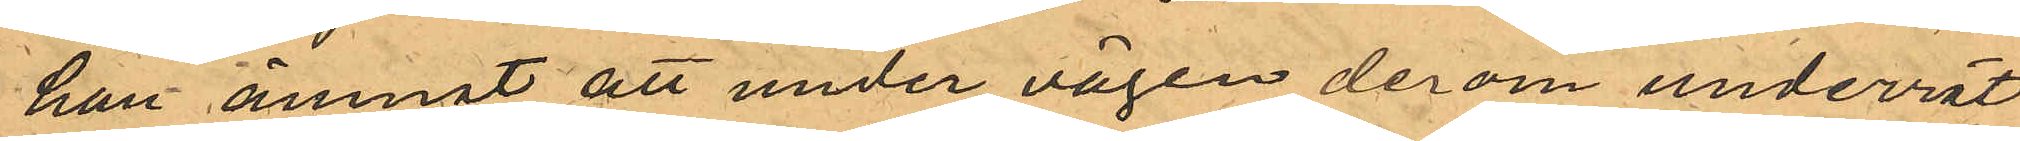han ämnat att under vägen derom underrät¬
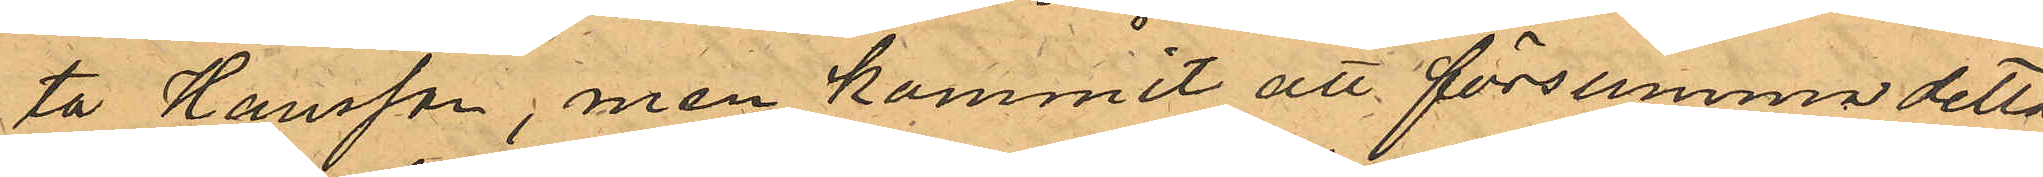ta Hansson, men kommit att försumma detta,
